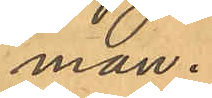man.
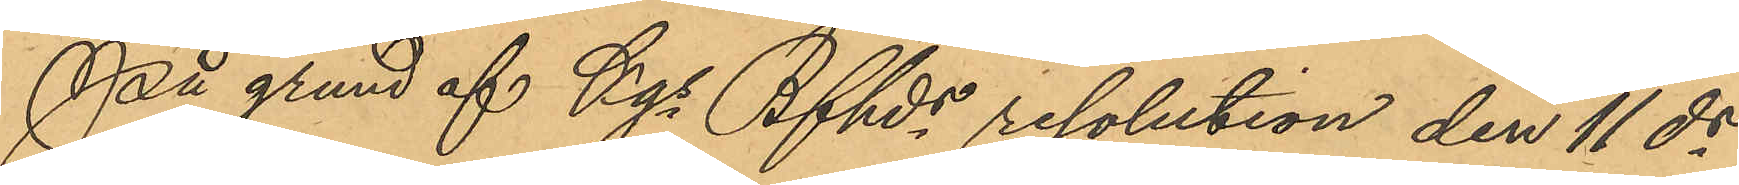På grund af Kgs Bfhds resolution den 11 ds
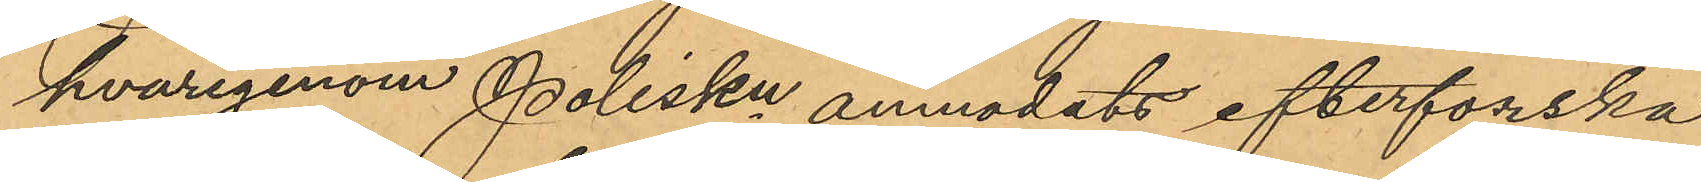hvarigenom Poliskn anmodats efterforska
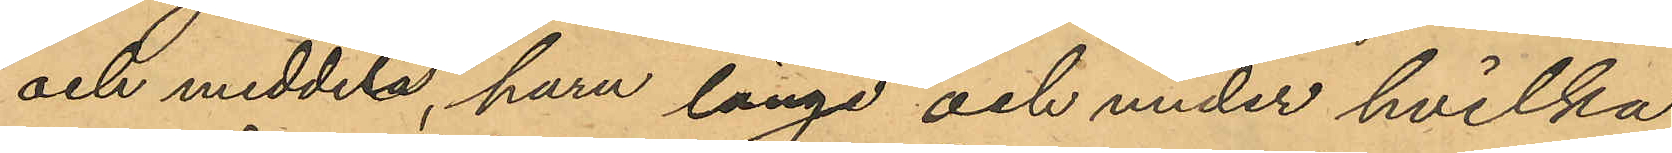och meddela, huru länge och under hvilka
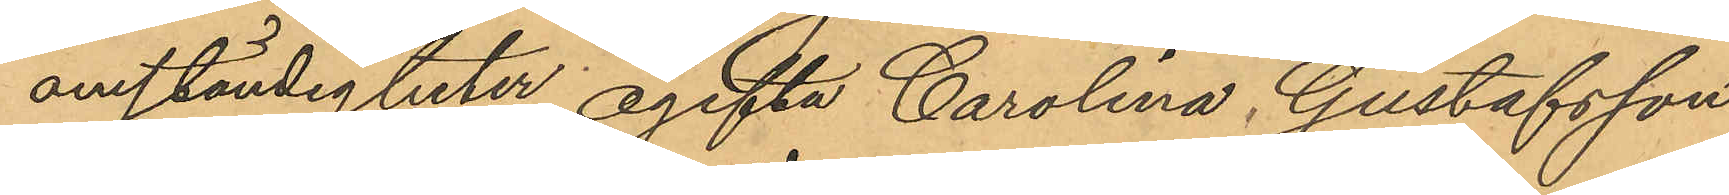omständigheter ogifta Carolina Gustafsson
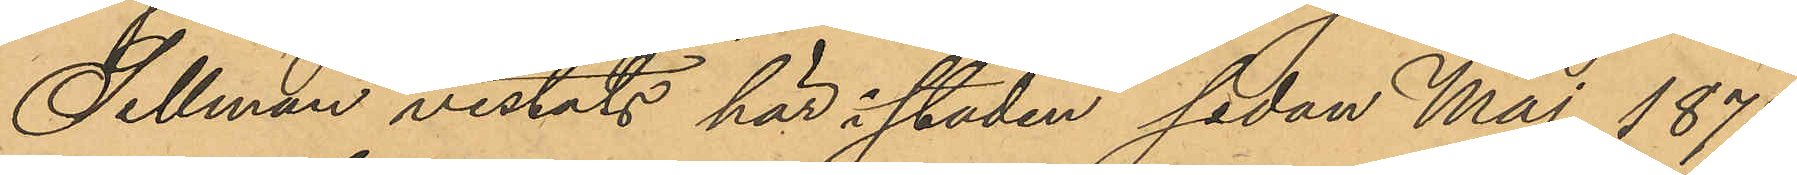Sellman vistats här i staden sedan Maj 1875,
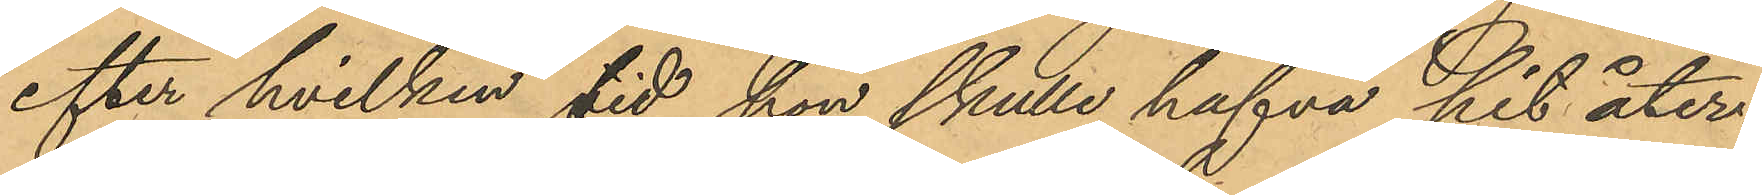efter hvilken tid hon skulle hafva hit åter¬
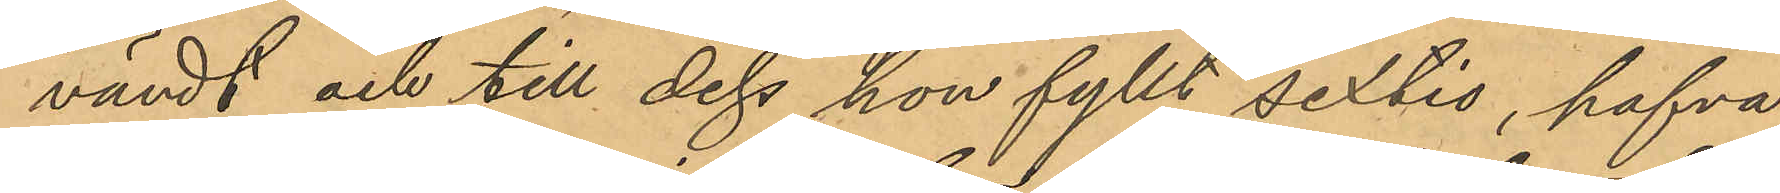vändt och till dess hon fyllt sextio, hafva
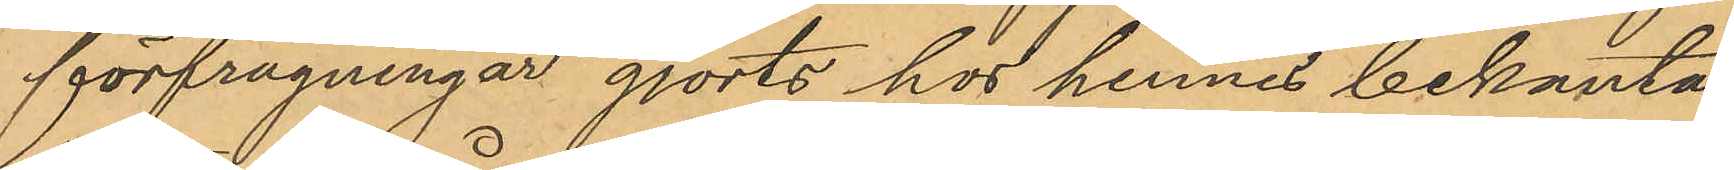förfrågningar gjorts hos hennes bekanta
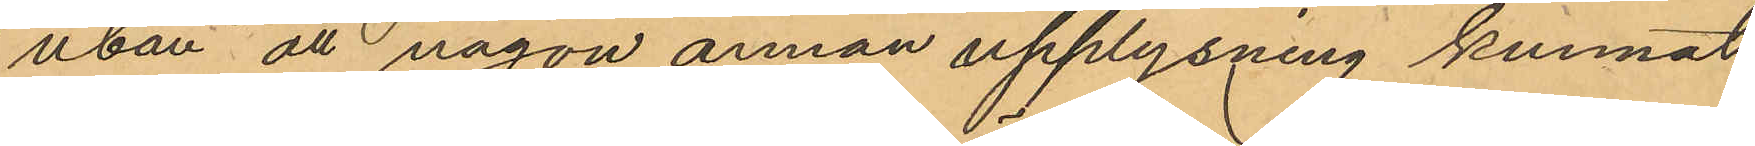utan att någon annan upplysning kunnat
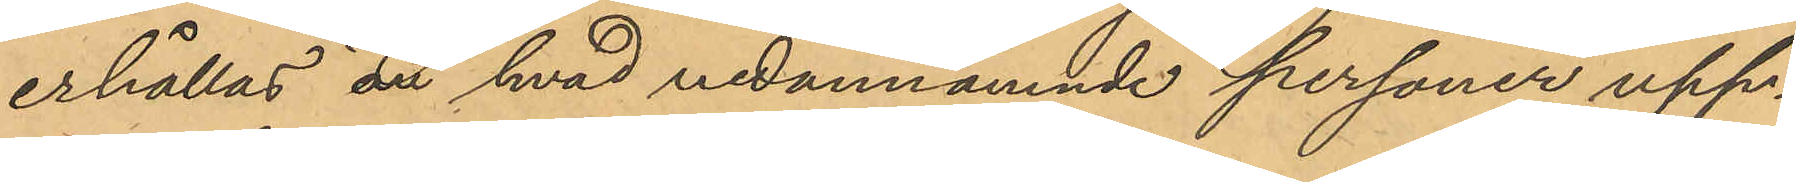erhållas, är hvad nedannämnde personer upp¬
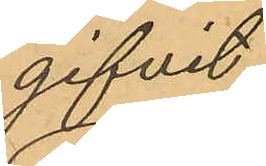gifvit:
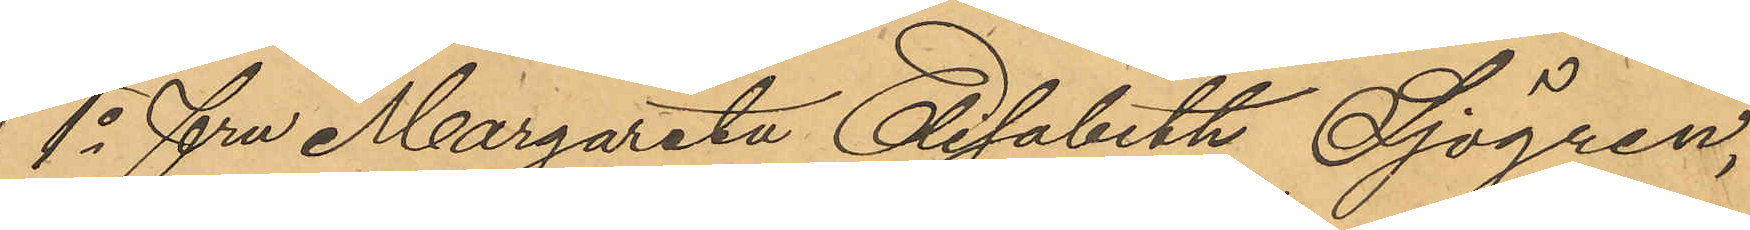1o Fru Margarata Elisabeth Sjögren,
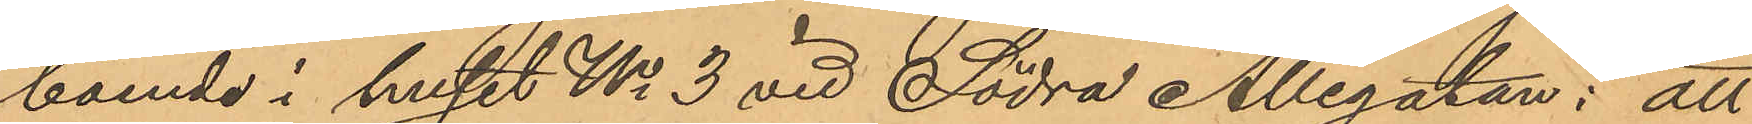boende i huset No 3 vid Södra Allégatan: att
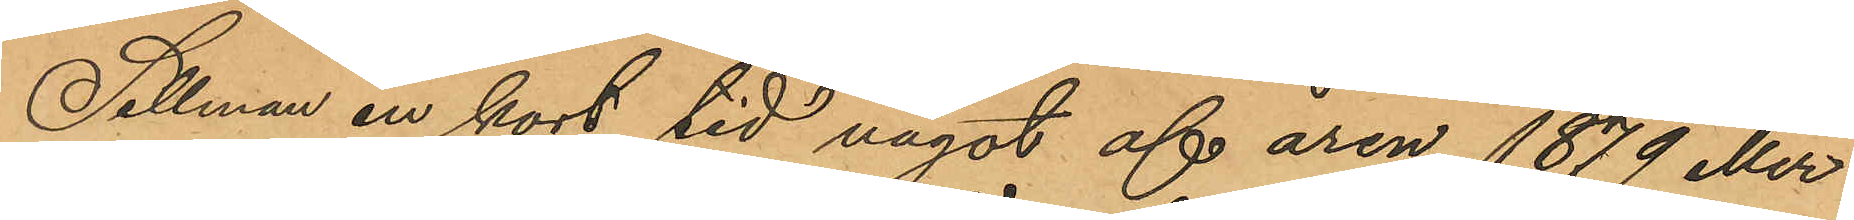Sellman en kort tid något af åren 1879 eller
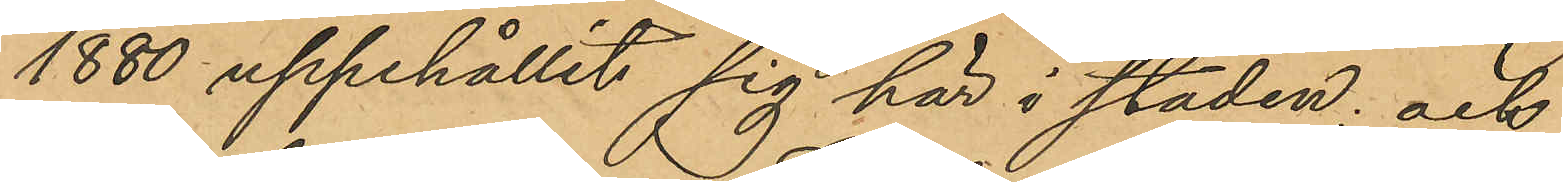1880 uppehållit sig här i staden; och
